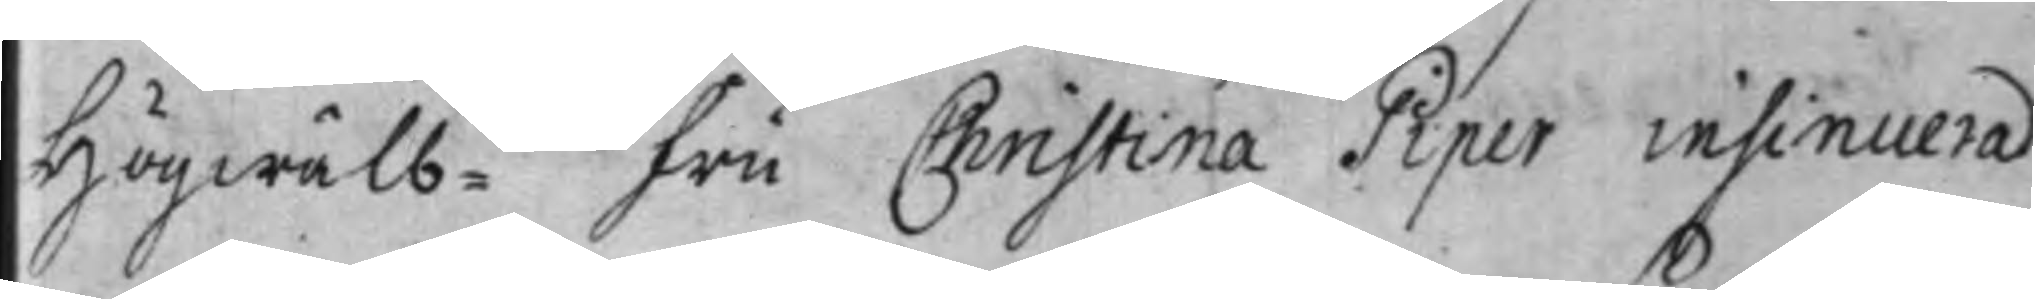Högwälb:na Fru Christina Piper insinuerad
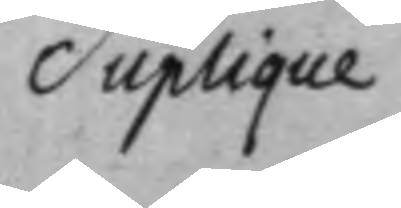Suplique
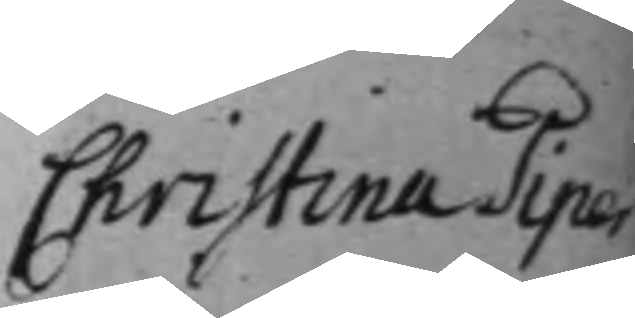Christina Piper
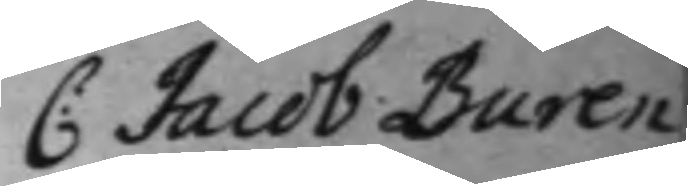C: Jacob Buren¬
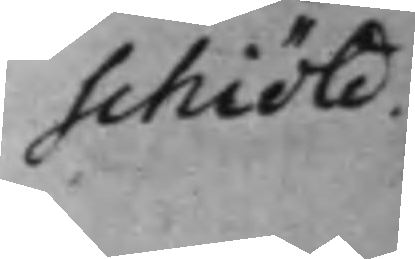schiöld.
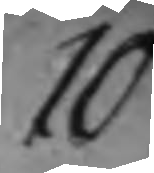10
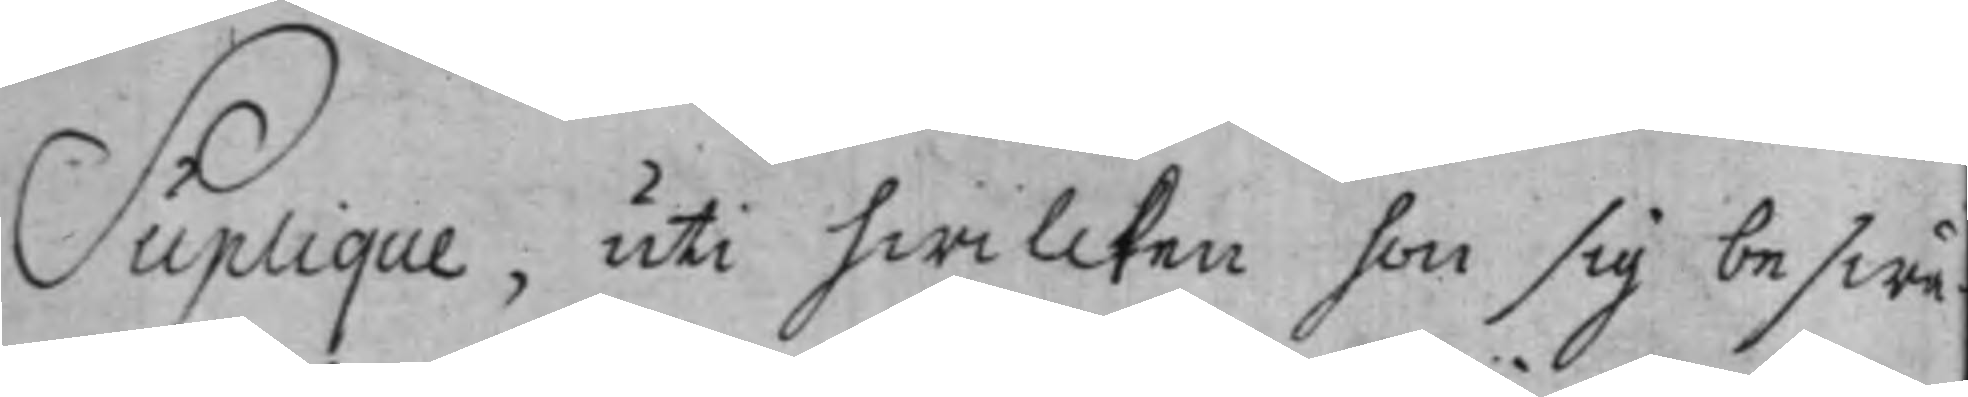Suplique, uti hwilcken hon sig beswä¬
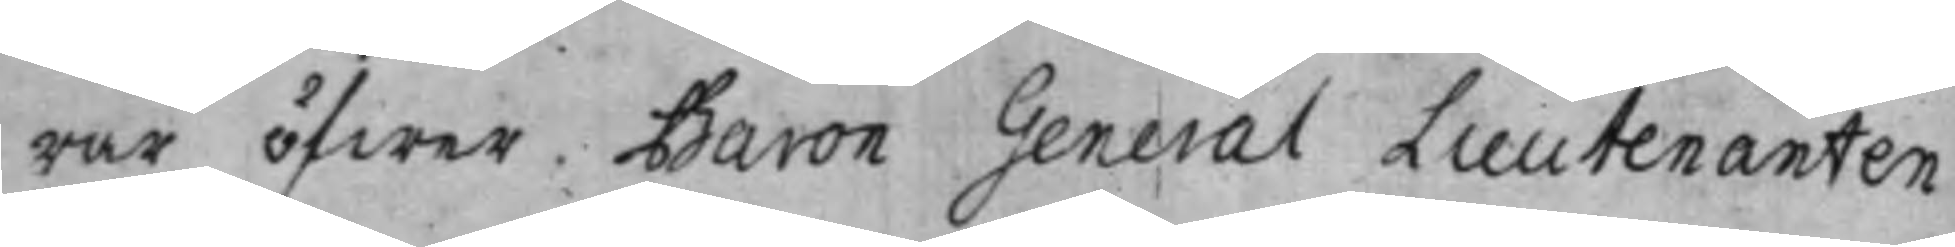rar öfwer Baron General Lieutenanten
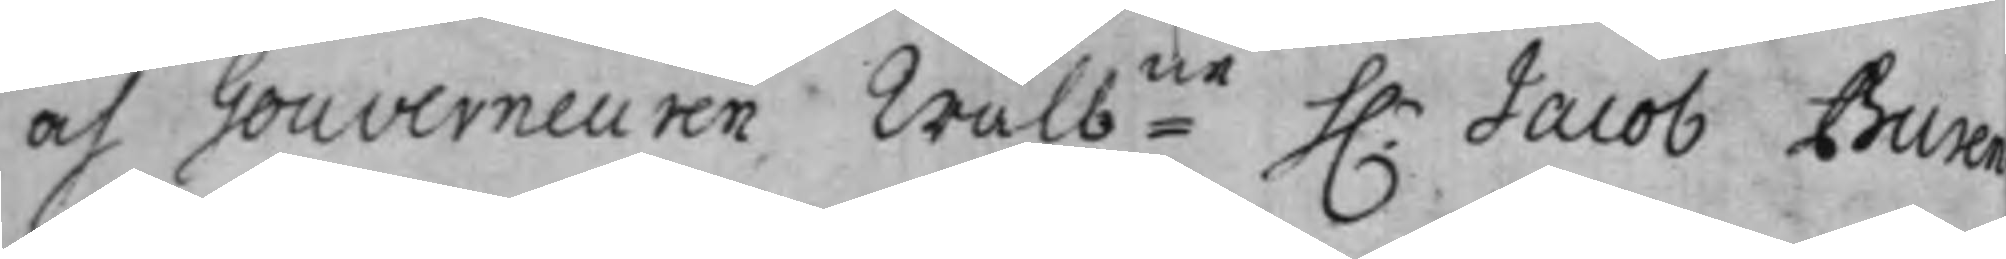och Gouverneuren Wälbne h.r Jacob Buren¬
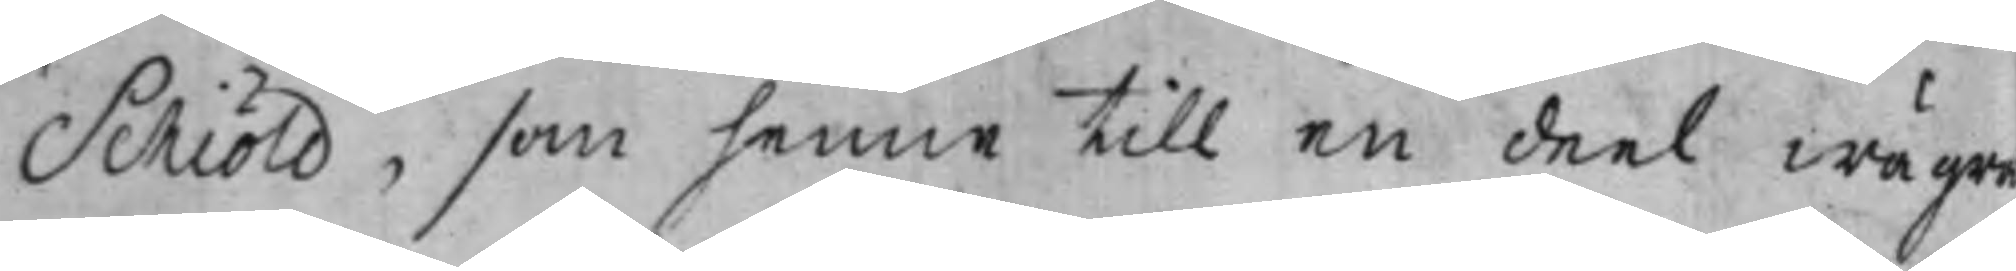Schiöld, som henne till en deel wägra
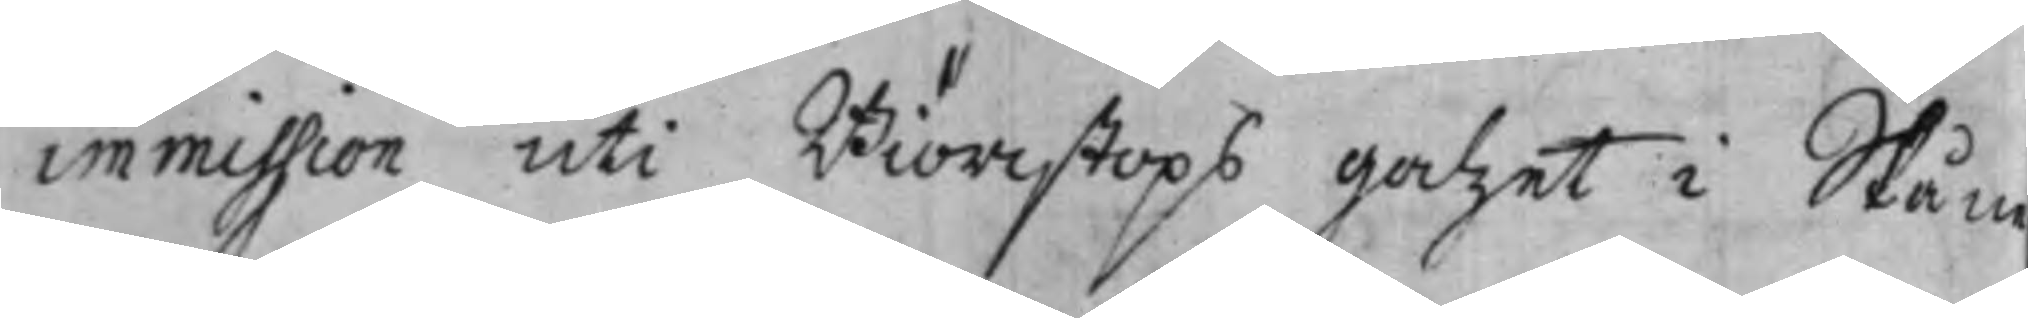immission uti Biörcstops Godzet i Skån
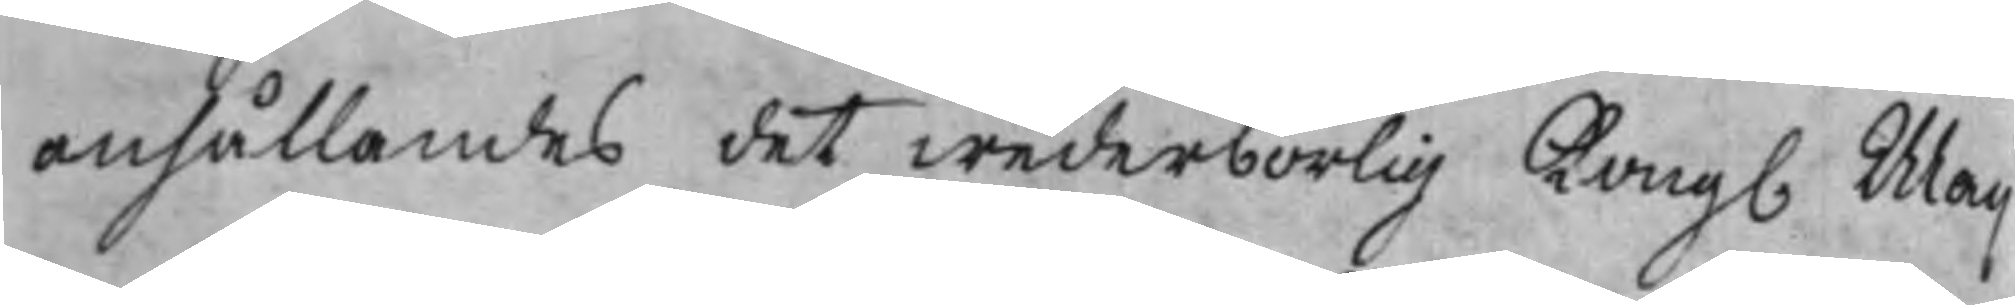anhållandes det wederbörlig Kong. Maij
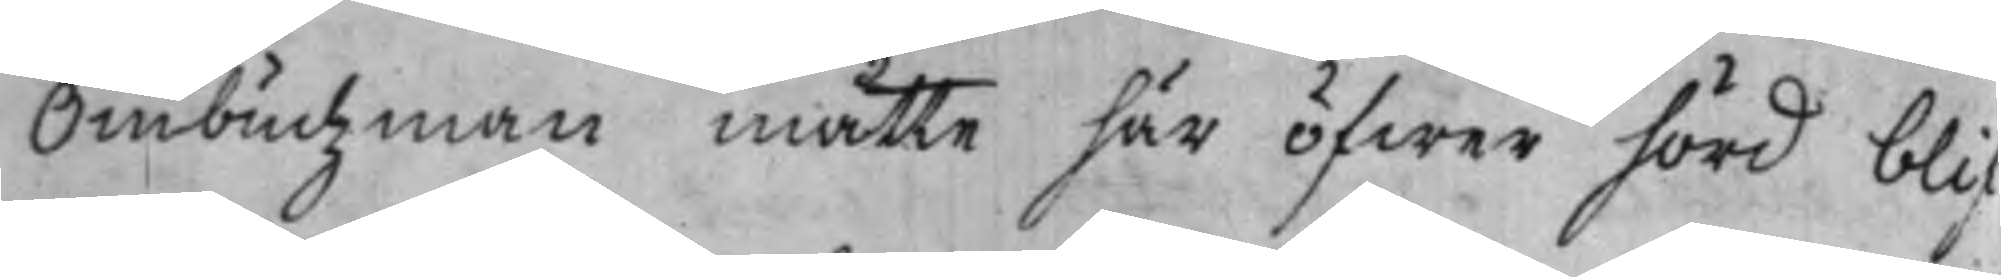Ombudzman måtte här öfwer hörd blif¬
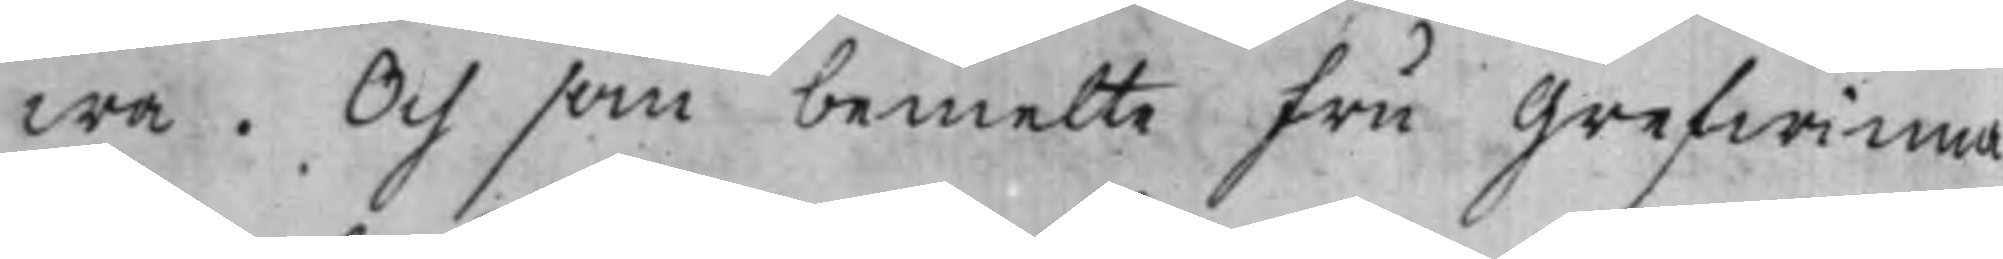wa. Och som bemelte Fru Grefwinna
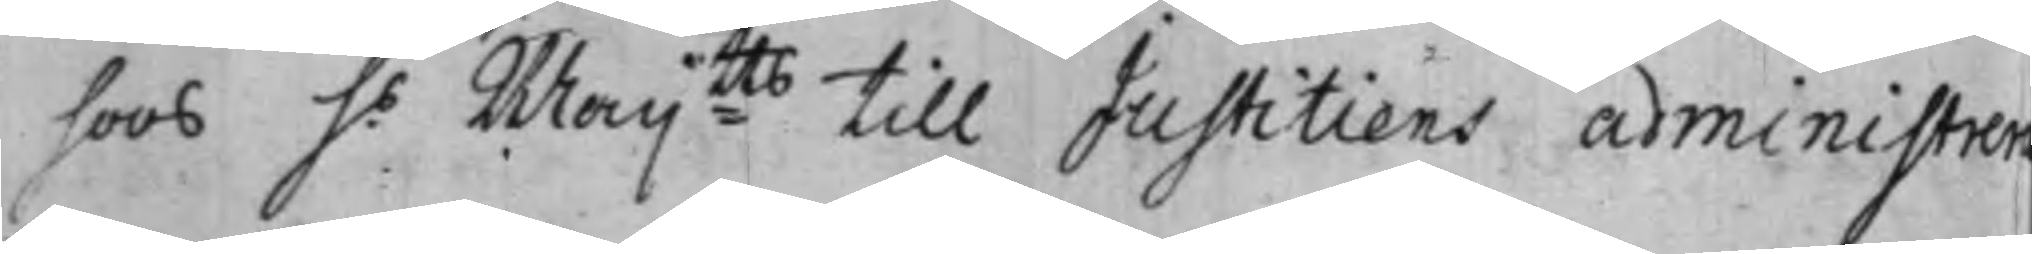hoos h.s Maij:tts till Justitiens administrer¬
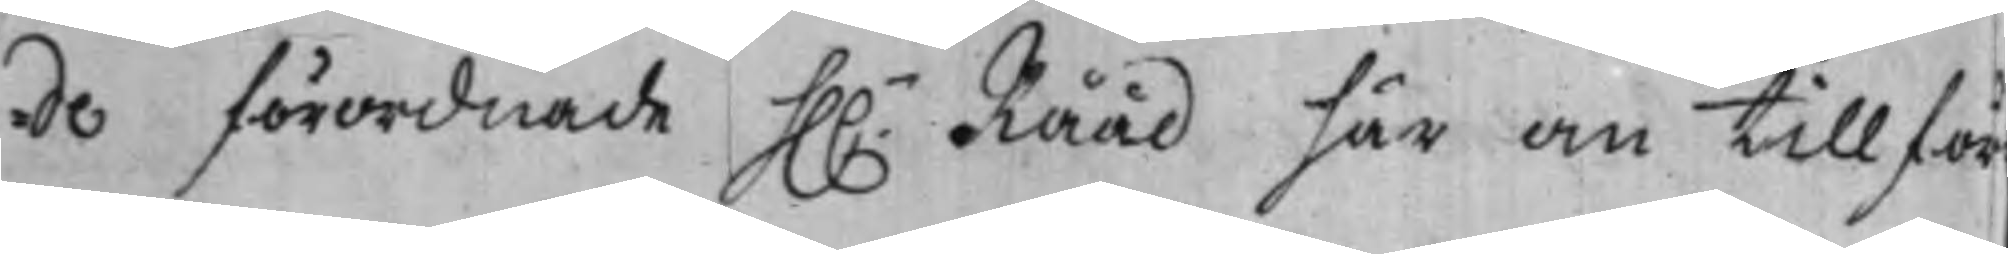de förordnade hh.r Rååd här om till för¬
